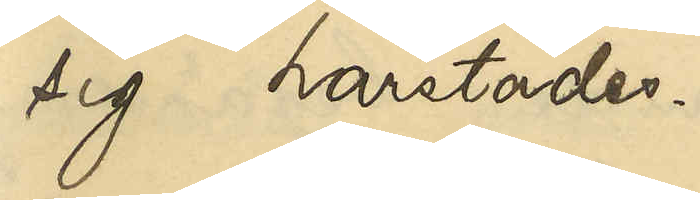sig härstädes.
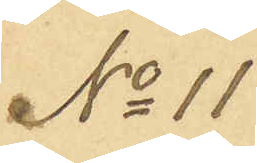No 11
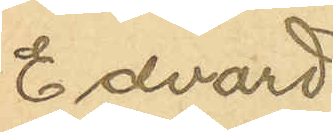Edvard
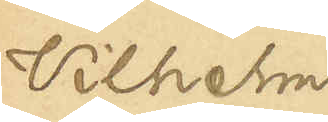Vilhelm
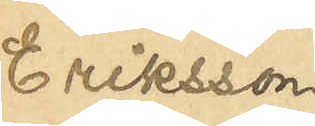Eriksson
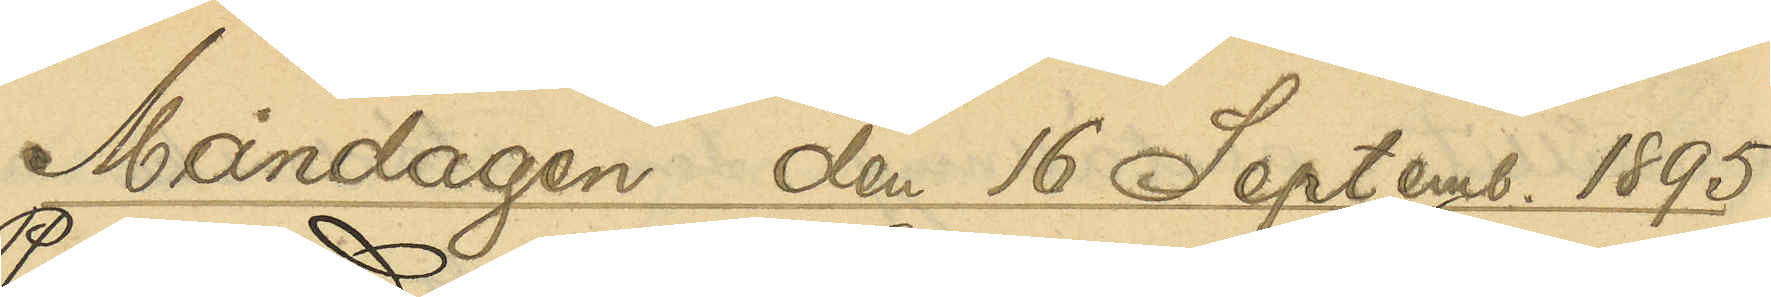Måndagen den 16 Septemb. 1895
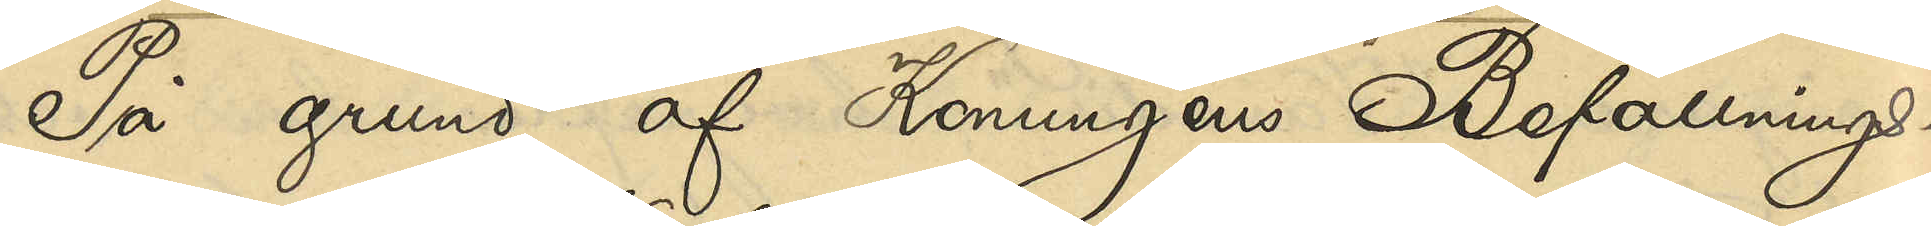På grund af Konungens Befallnings¬
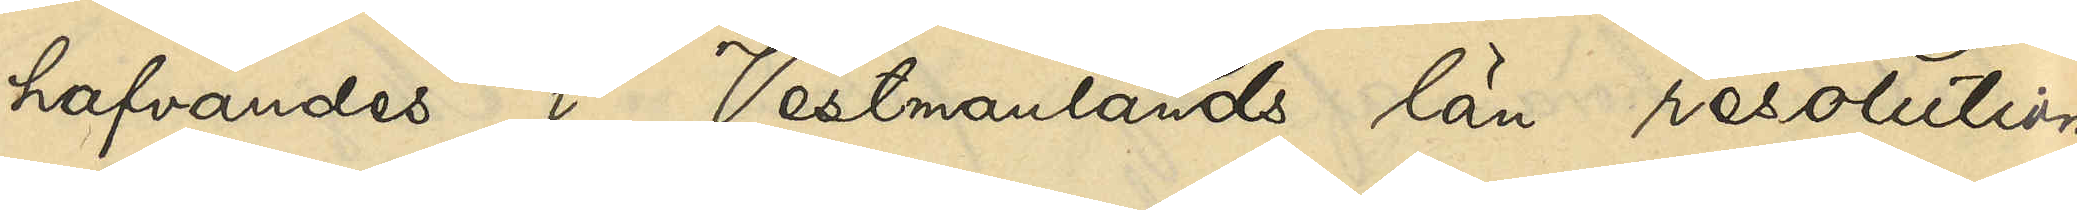hafvandes i Vestmanlands län resolution
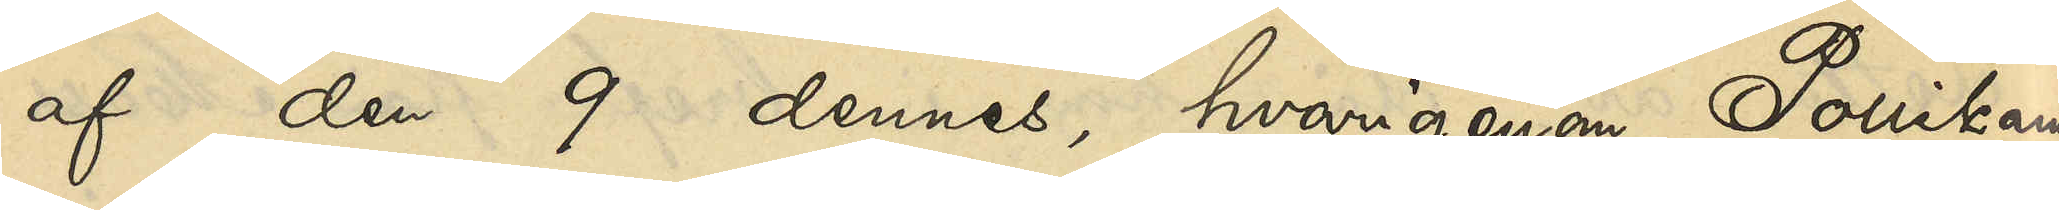af den 9 dennes, hvarigenom Poliskam¬
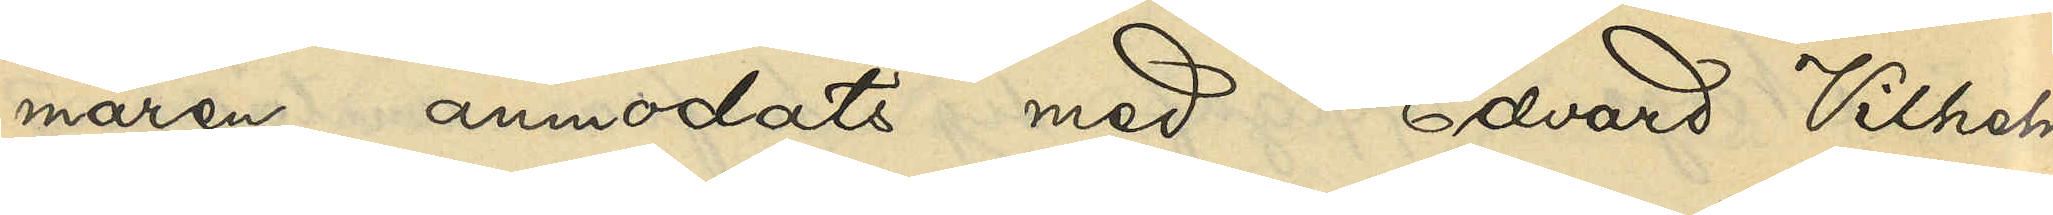maren anmodats med Edvard Vilhelm
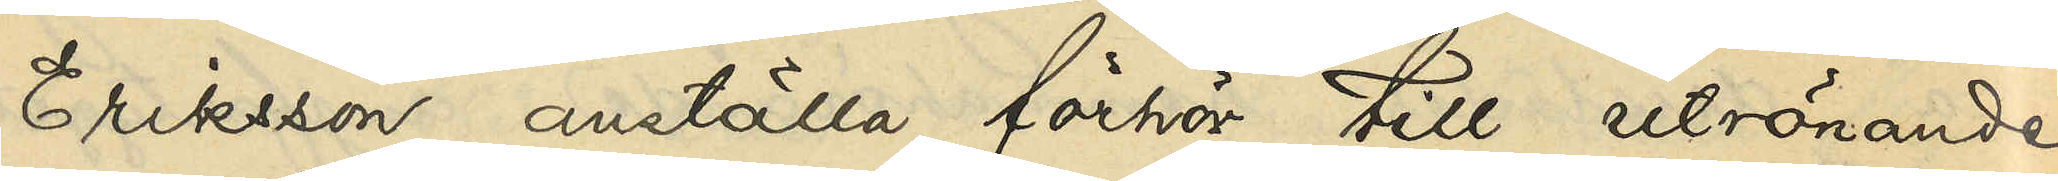Eriksson anställa förhör till utrönande
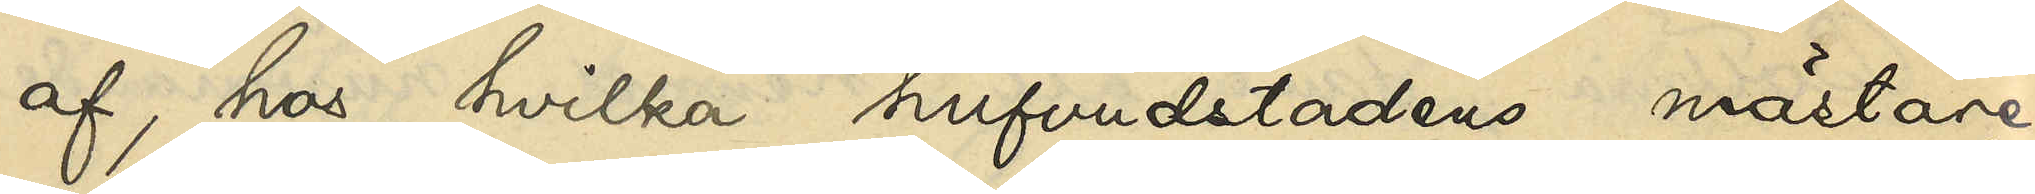af, hos hvilka hufvudstadens mästare
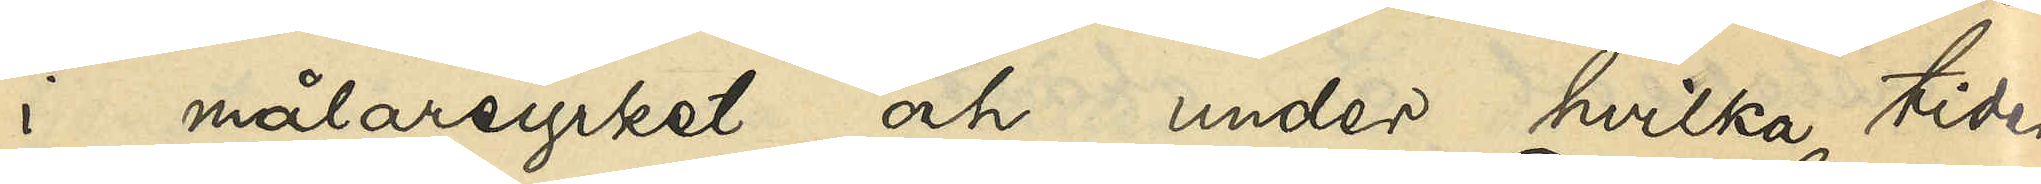i målareyrket och under hvilka tider
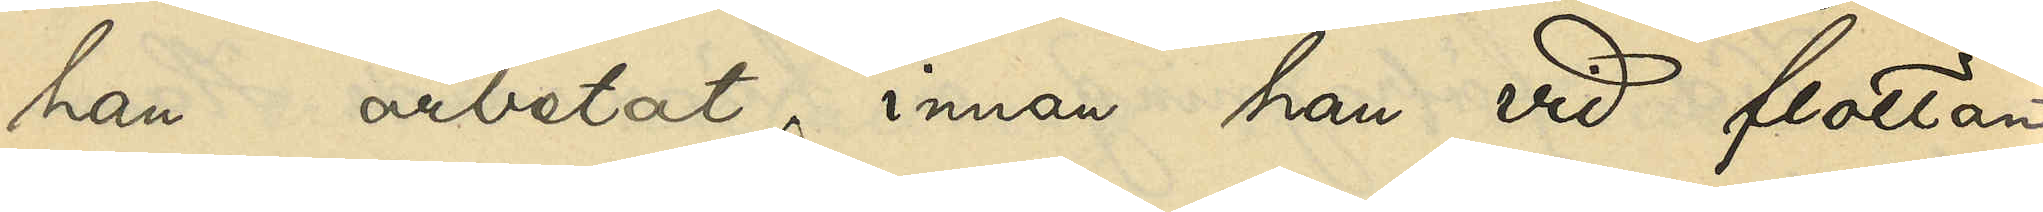han arbetat, innan han vid flottan
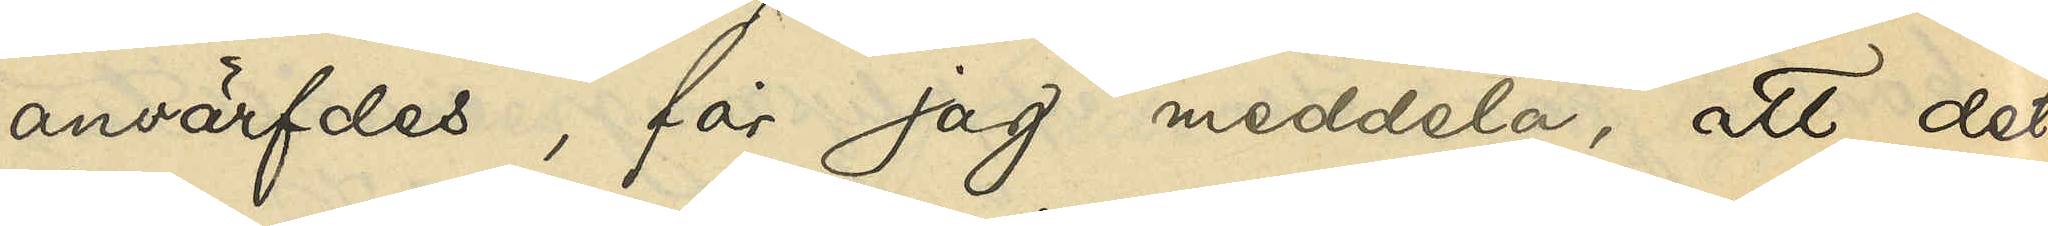anvärfdes, får jag meddela, att det
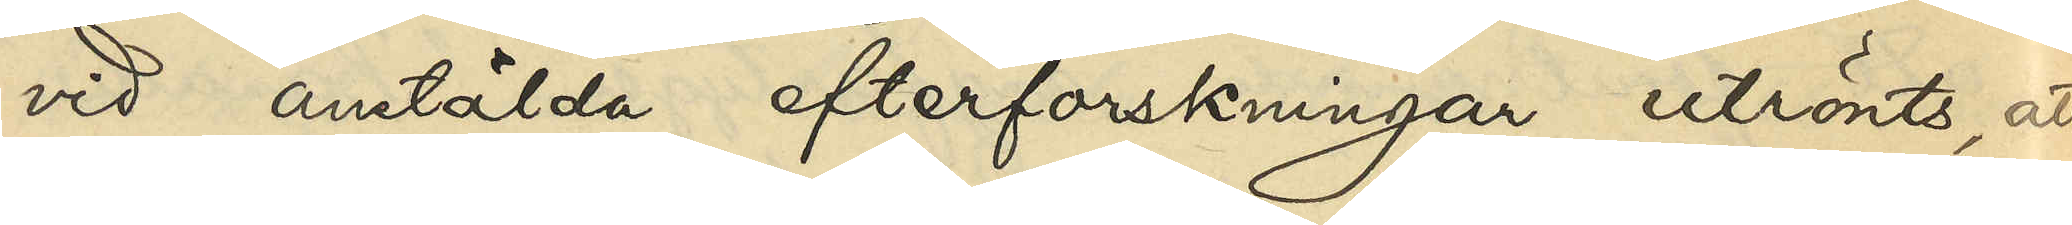vid anstälda efterforskningar utrönts, att
